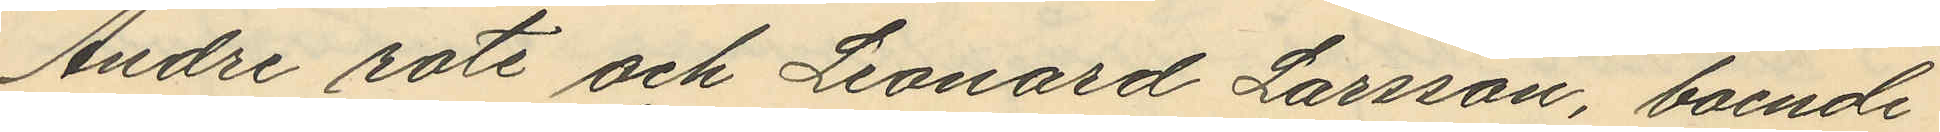Andre rote och Leonard Larsson, boende
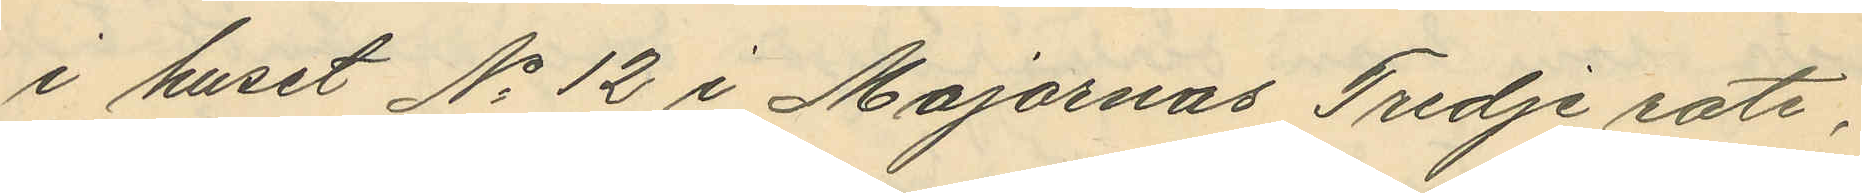i huset No 12 i Majornas Tredje rote,
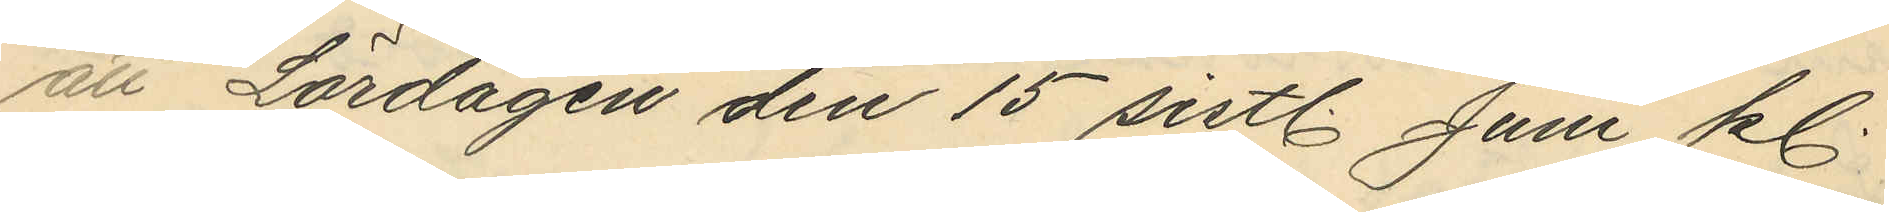att Lördagen den 15 sistl. Juni kl.
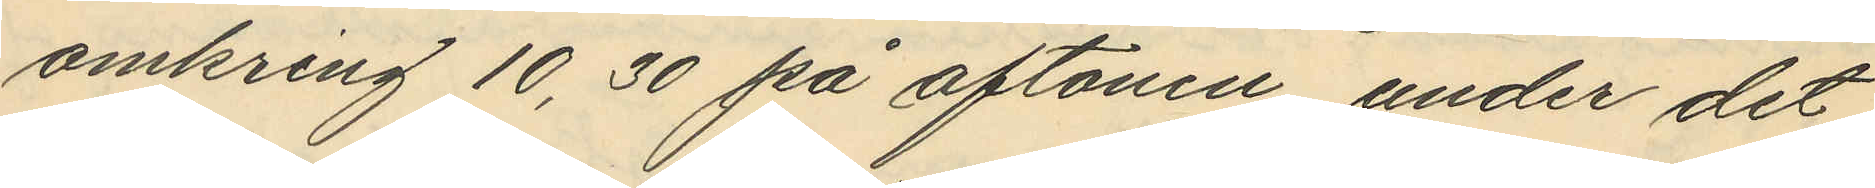omkring 10,30 på aftonen, under det
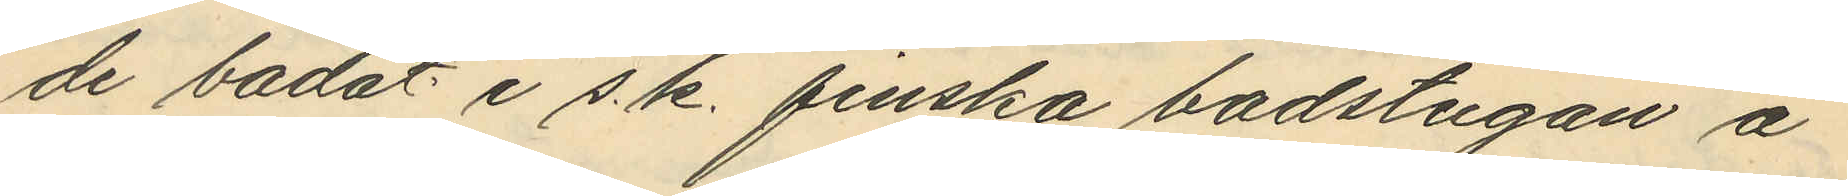de badat i s. k. finska badstugan å
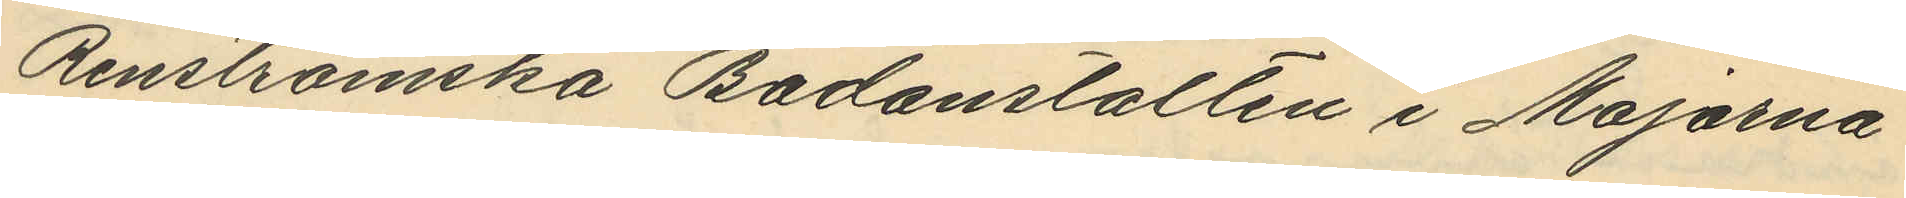Renströmska Badanstalten i Majorna
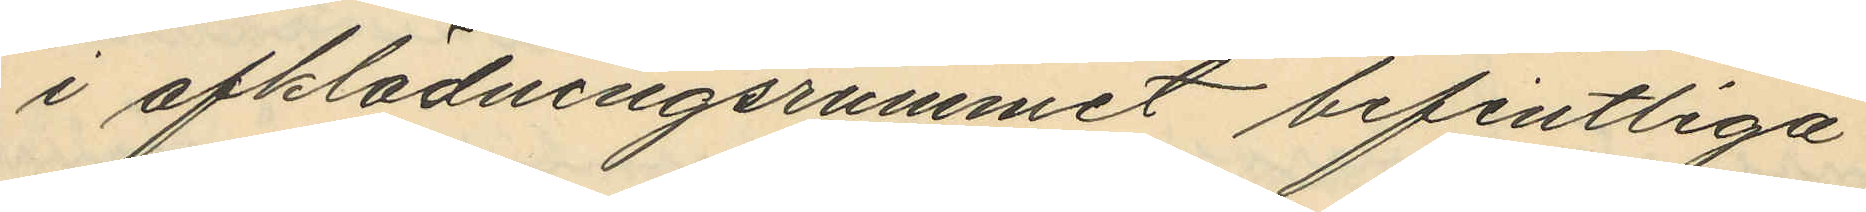i afklädningsrummet befintliga
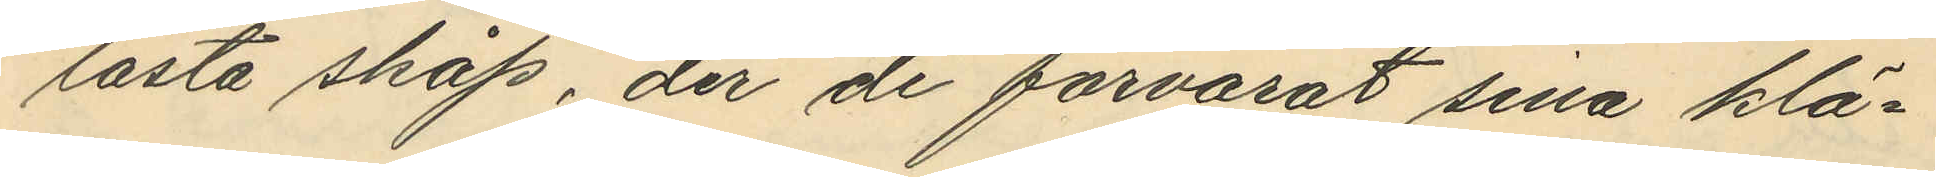låsta skåp, der de förvarat sina klä¬
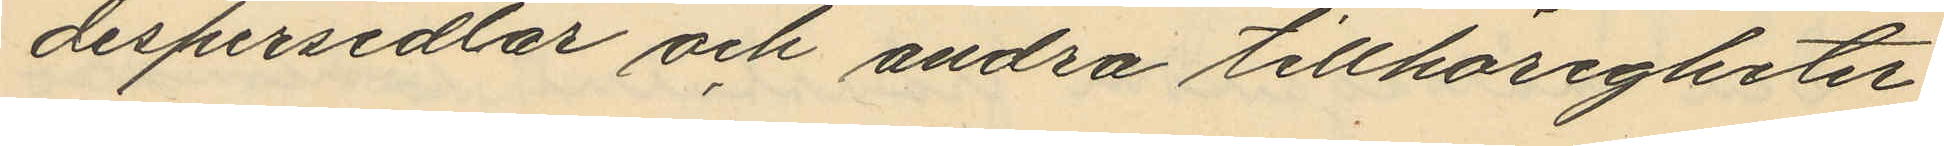despersedlar och andra tillhörigheter
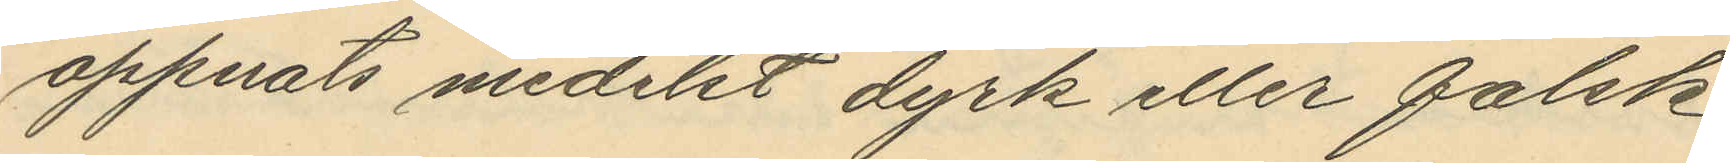öppnats medelst dyrk eller falsk
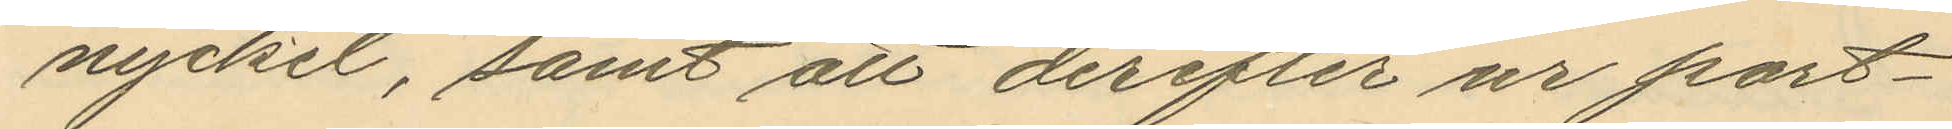nyckel, samt att derefter ur port¬
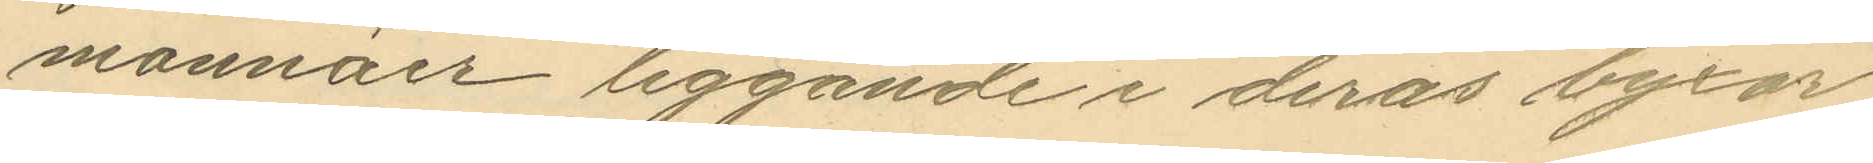monnäer liggande i deras byxor
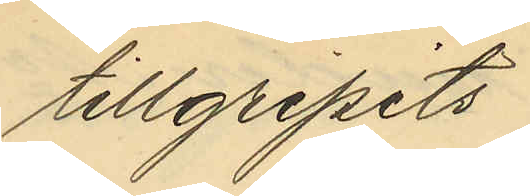tillgripits
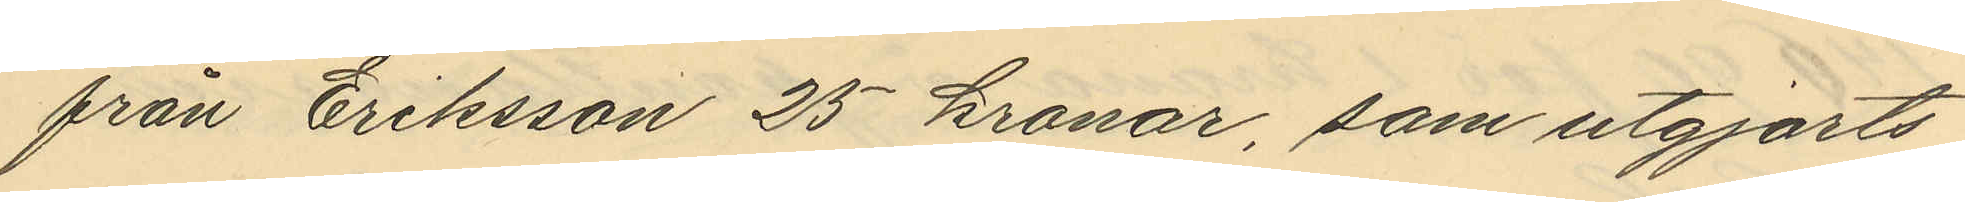från Eriksson 25 kronor, som utgjorts
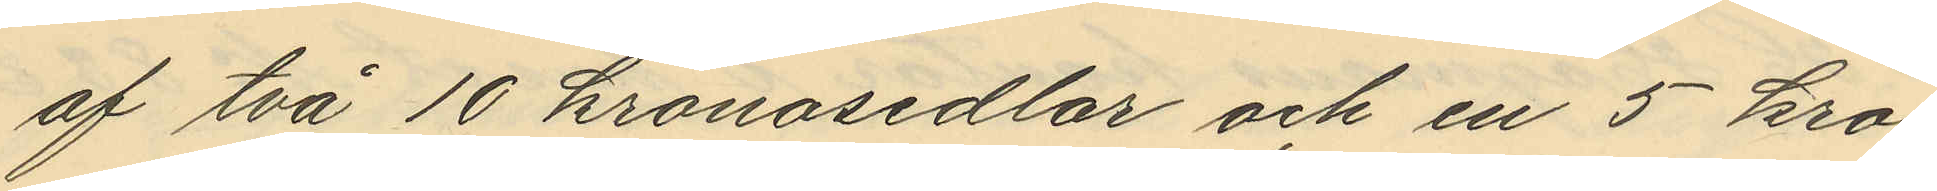af två 10 kronosedlar och en 5 kro¬
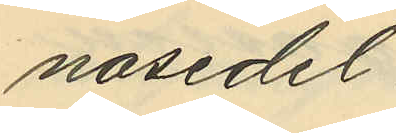nosedel
